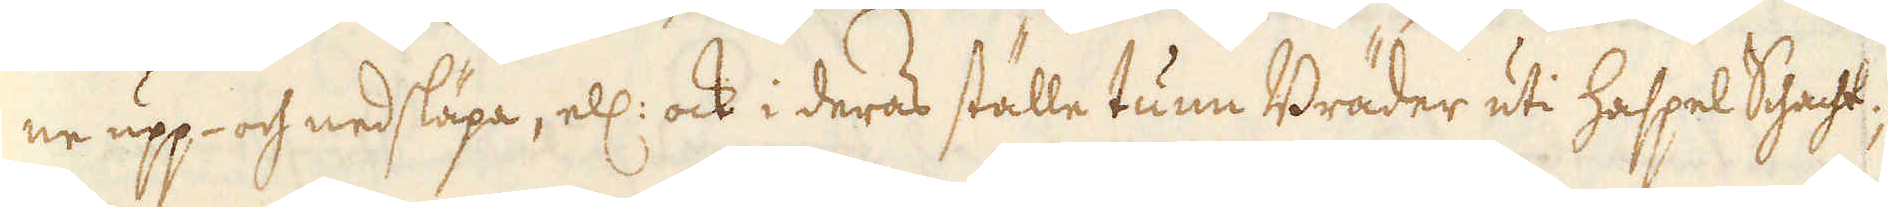ne upp- och nedsläpa, ell: ock i deras ställe tunn Bräder uti Haspel Schacht;
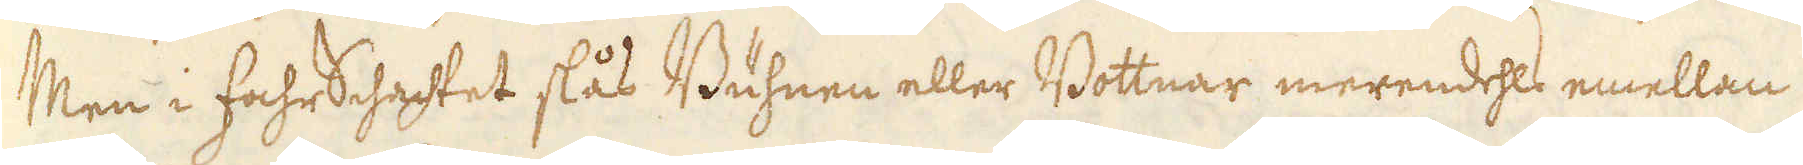Men i fahr Schachtet slås Buhnen eller Bottnar merendehls emellan
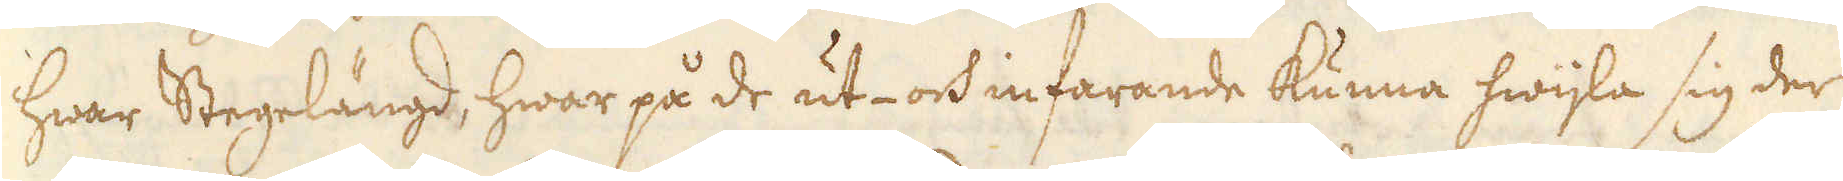hwar Stegelängd, hwar på de ut- och infarande kunna hwijla sig der
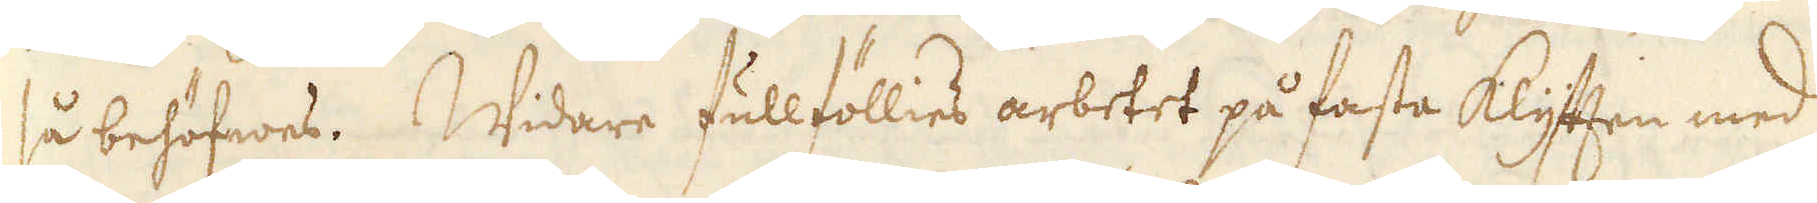så behöfwes. Widare fullföllies arbetet på fasta Klyften med
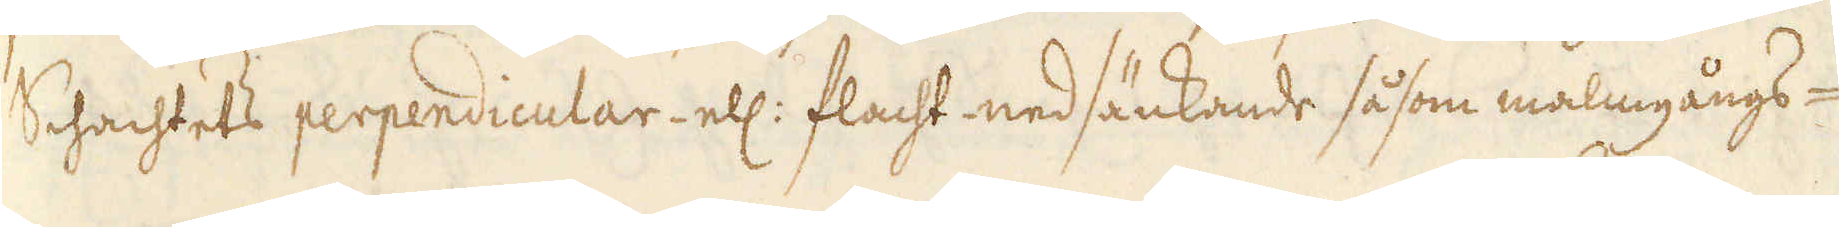Schachtets perpendicular- ell: Flacht nedsänkande såsom malmgångs-
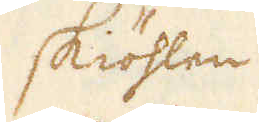skiöhlen
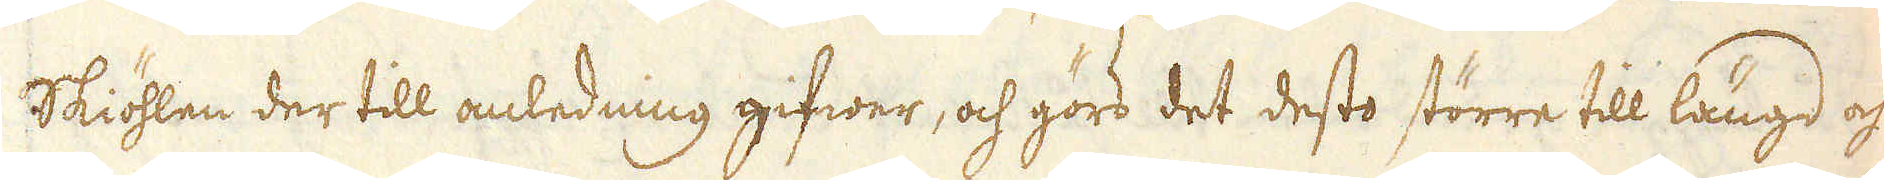Skiöhlen der till anledning gifwer, och görs det desto större till längd och
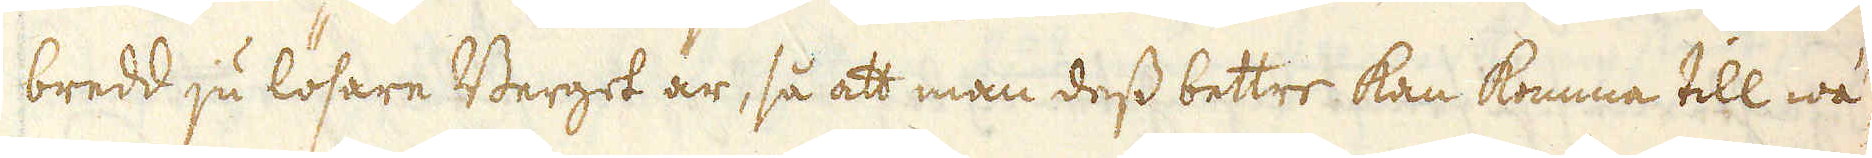bredd ju lösare Berget är, så att man dess bettre kan komma till wä-
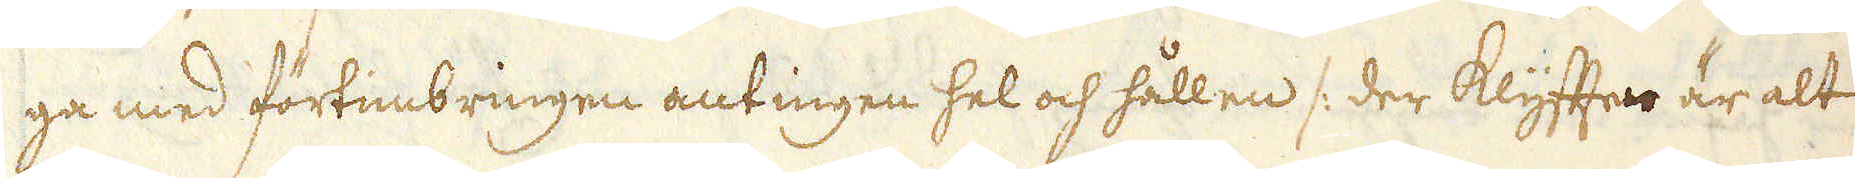ga med förtimbringen antingen hel och hållen /: der Klyfften är alt
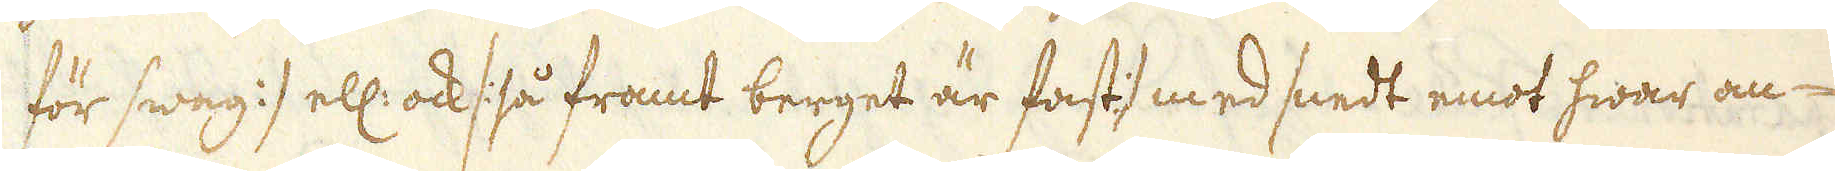för swag :/ ell: ock /: så framt berget är fast :/ med snedt emot hwar an-
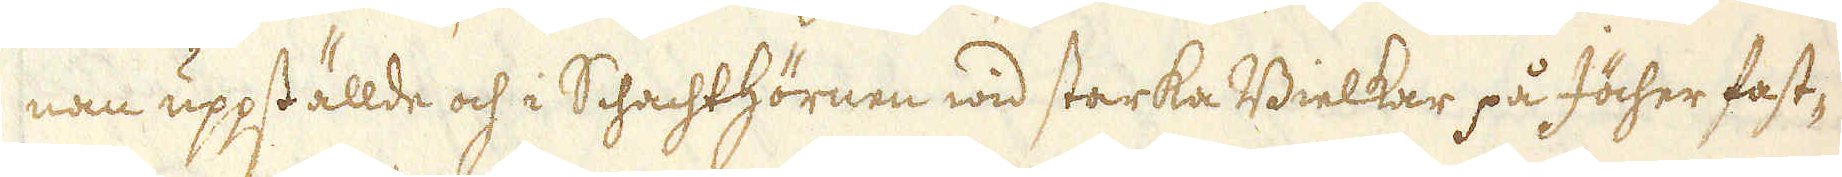nan uppställde och i Schachthörnen wid starka Bielkar på Jöcher fast-
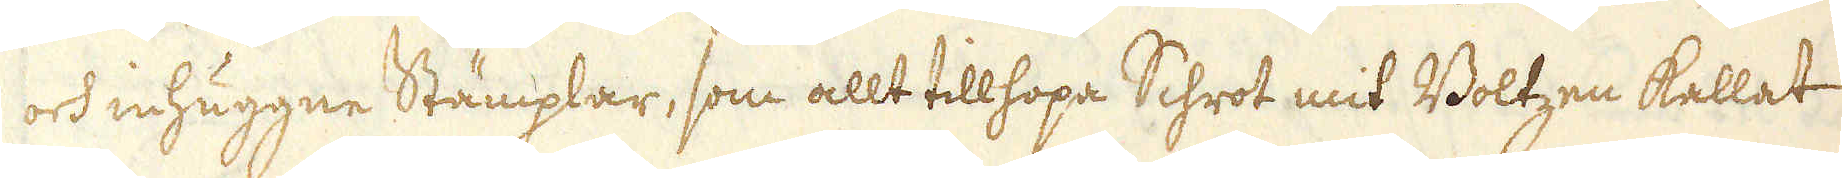och inhuggne Stämplar, som allt tillhopa Schrot mit Boltzen kallat
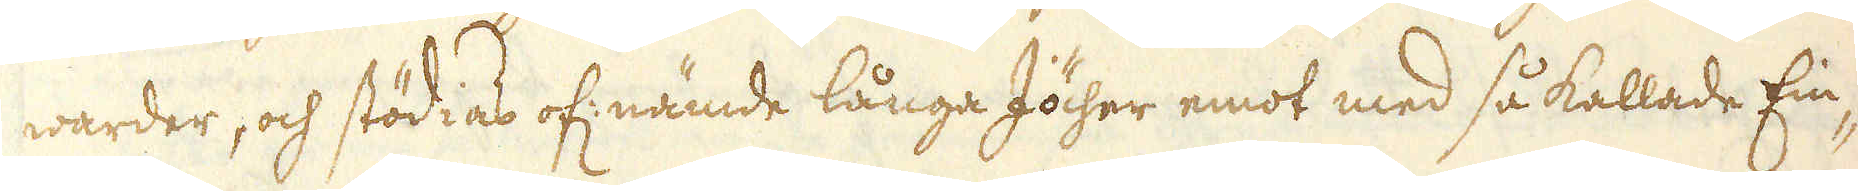warder, och stödias of: nämde långa Jöcher emot med så kallade Ein-
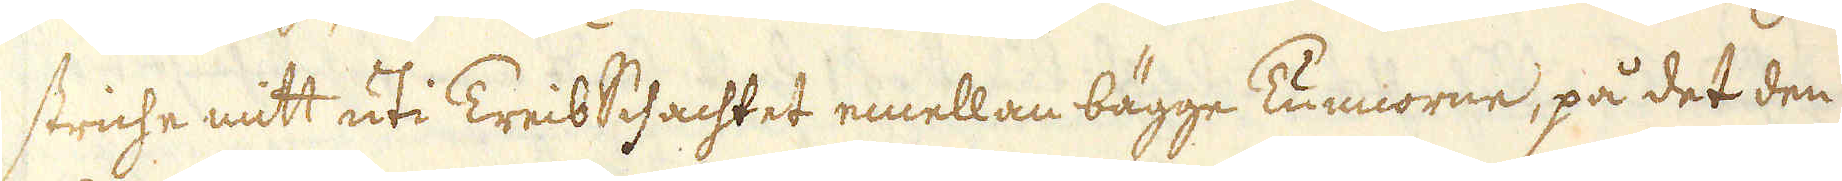striche mitt uti Treib Schachtet emellan bägge Tunnorne, på det den
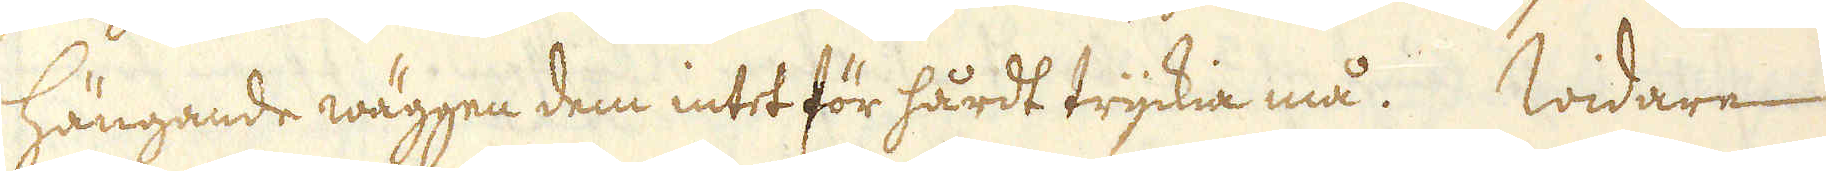hängande wäggen dem intet för hårdt tryckia må. Widare
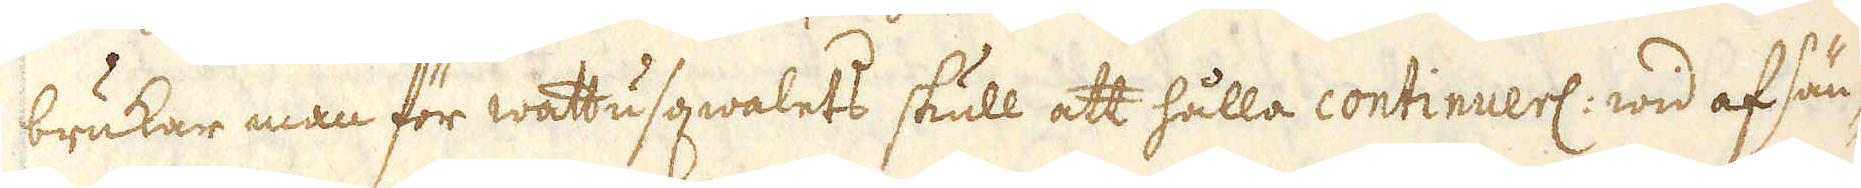brukar man för wattusqwalets skull att hålla continuerl: wid af sän-
